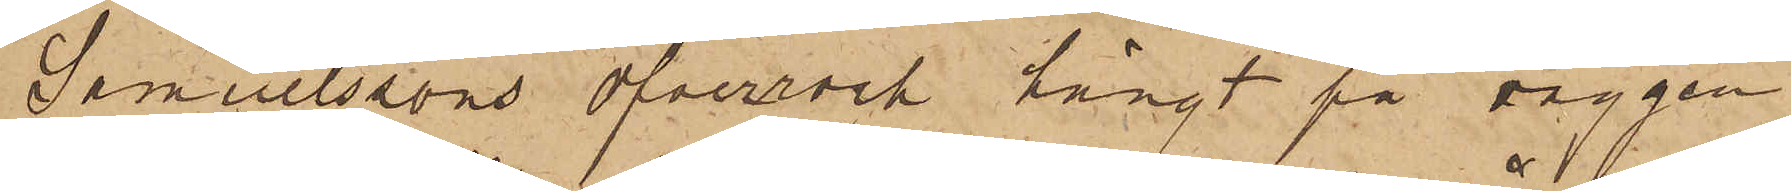Samuelssons öfverrock hängt på väggen
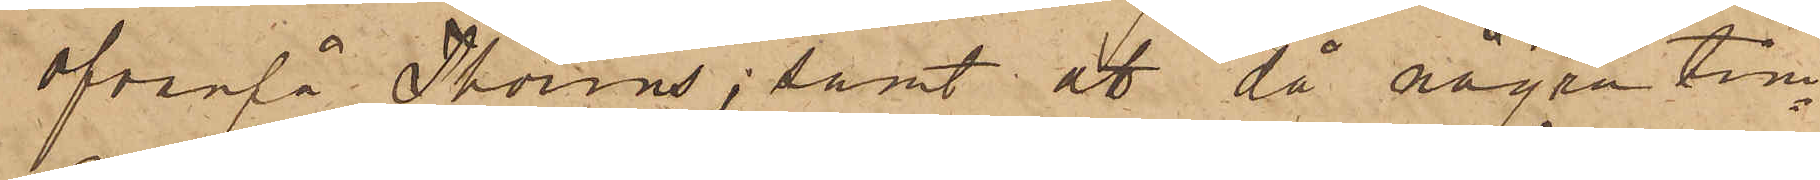ofvanpå Thorins; samt att då några tim¬
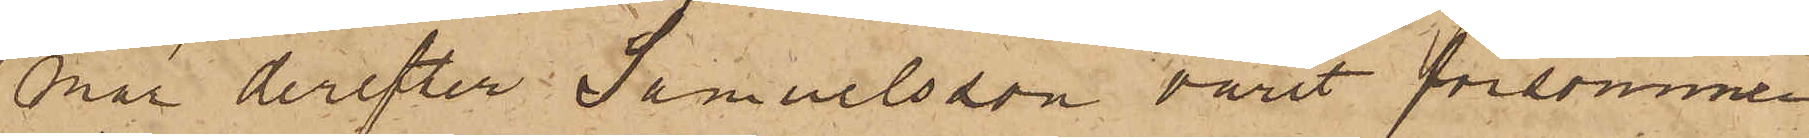mar derefter Samuelsson varit försvunnen
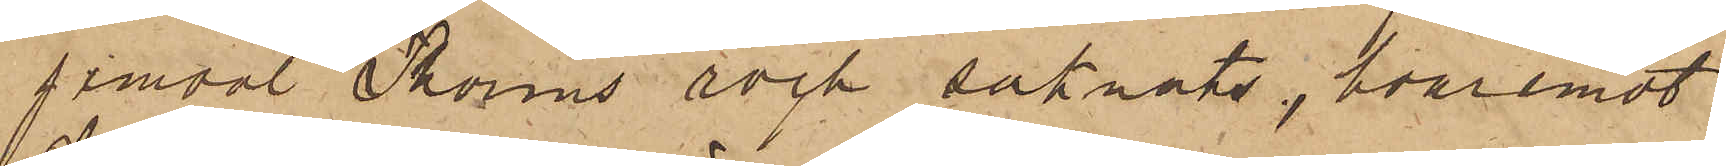jemväl Thorins rock saknats, hvaremot
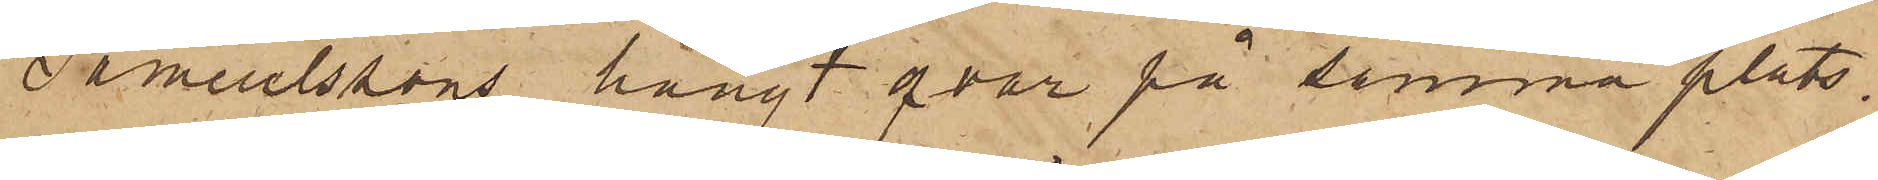Samuelssons hängt qvar på samma plats.
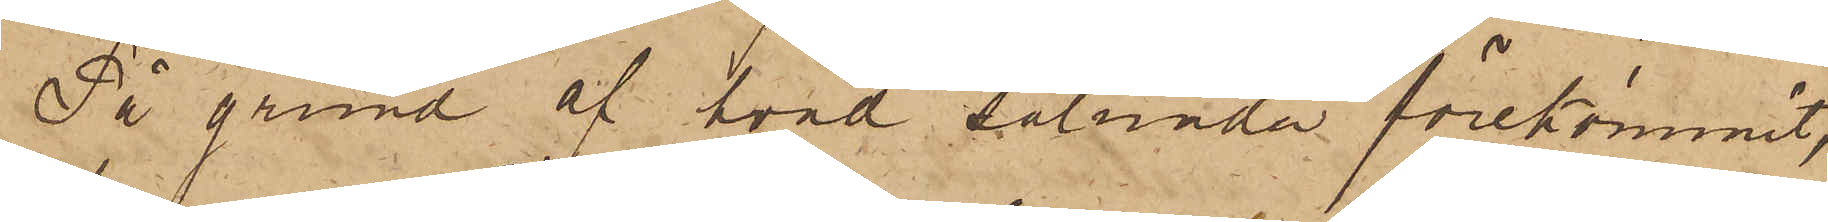På grund af hvad sålunda förekommit,
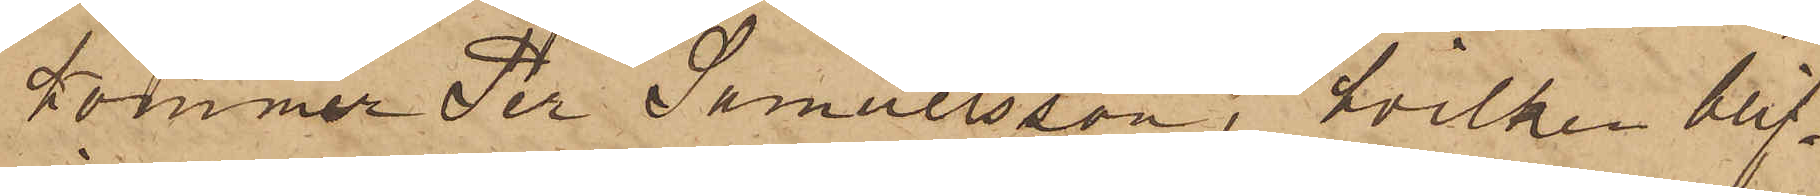kommer Per Samuelsson, hvilken blif¬
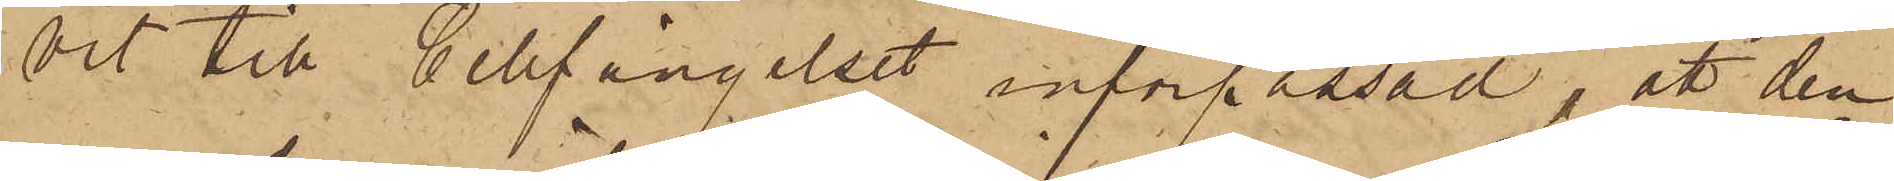och till Cellfängelset införpassad, att den¬
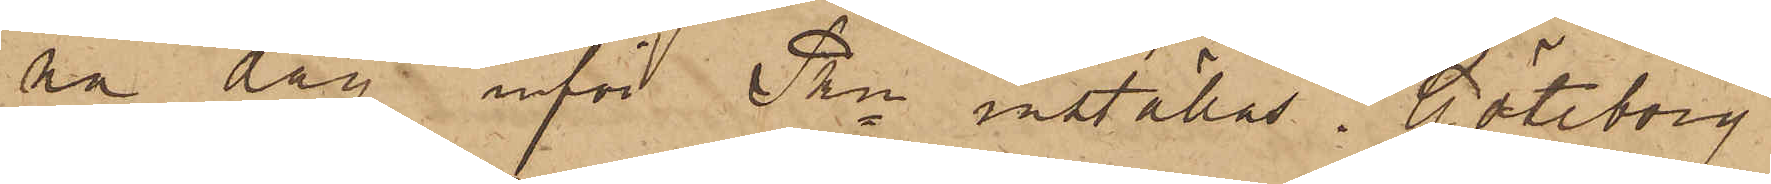na dag inför Pkn inställas. Göteborg
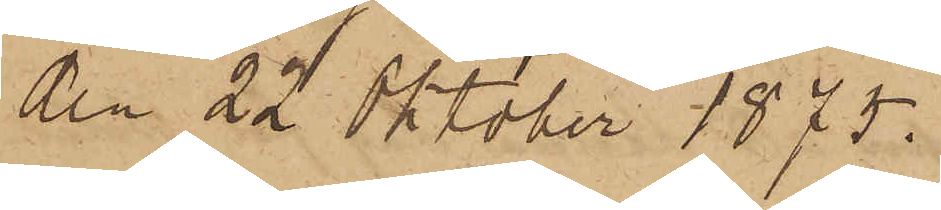den 22 Oktober 1875.
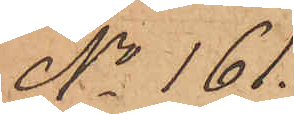No 161.
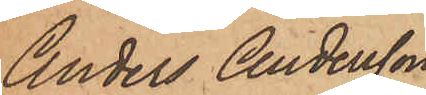Anders Andersson.
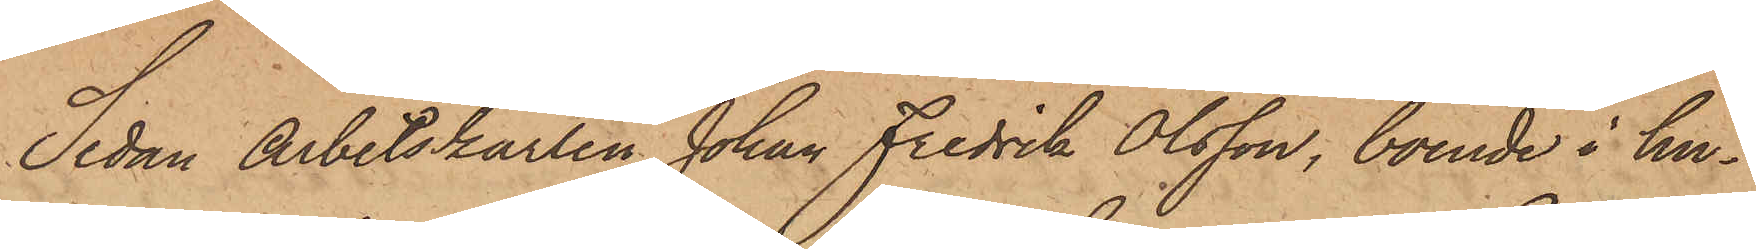Sedan Arbetskarlen Johan Fredrik Olsson, boende i hu¬
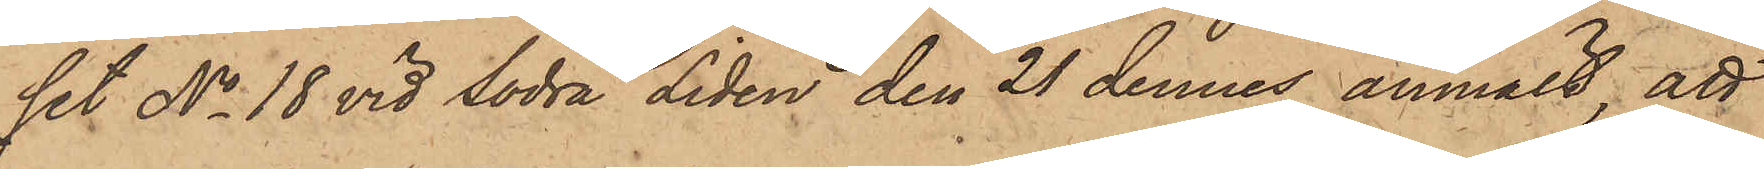set No 18 vid Södra Liden den 21 dennes anmält, att
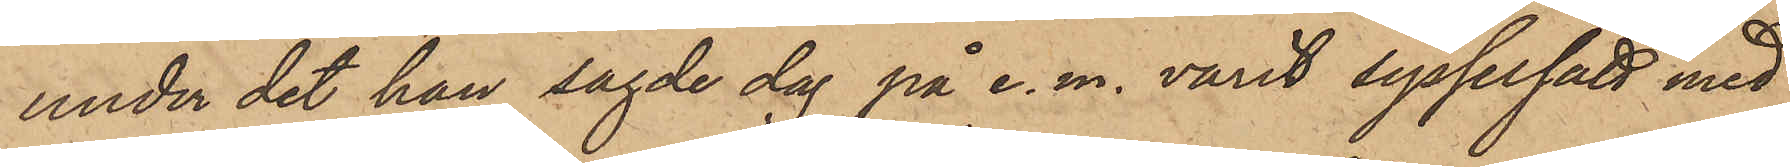under det han sagde dag på e. m. varit sysselsatt med
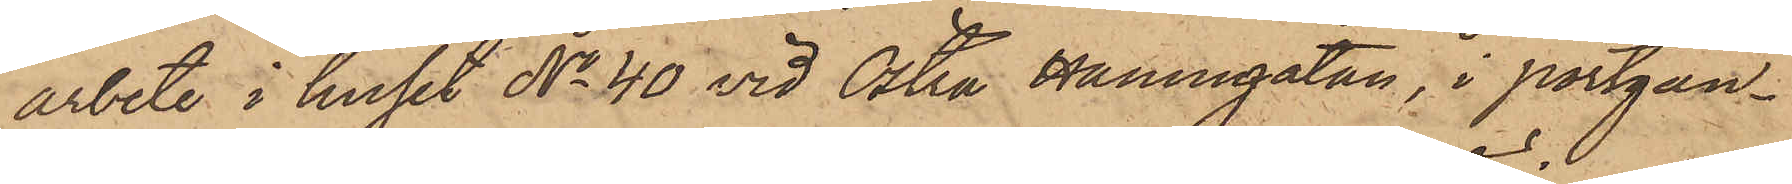arbete i huset No 40 vid Östra Hamngatan, i portgån¬
